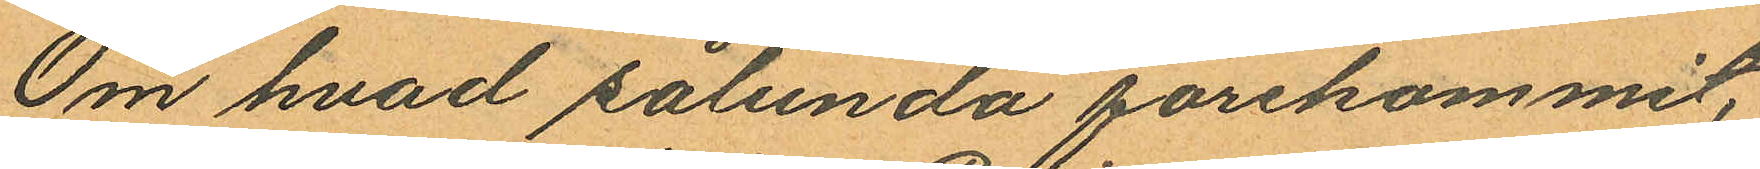Om hvad sålunda förekommit,
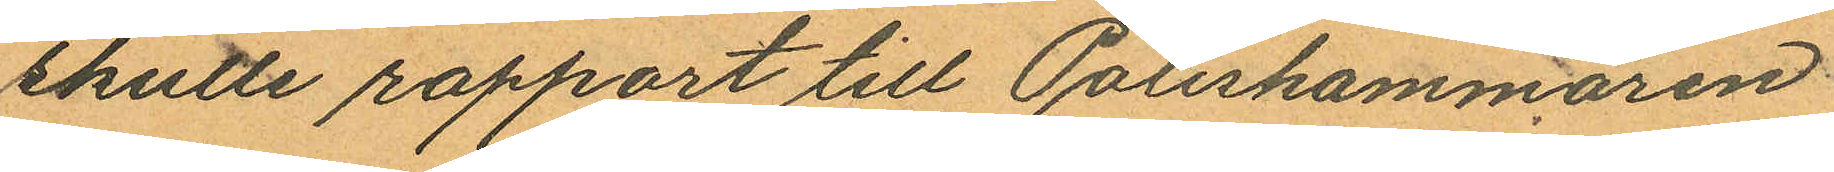skulle rapport till Poliskammaren
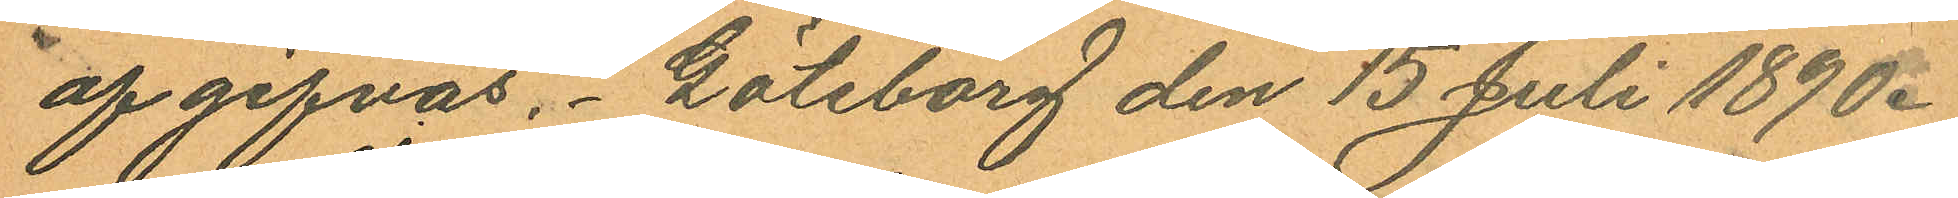afgifvas. Göteborg den 13 Juli 1890.
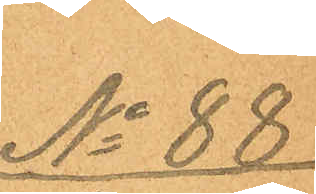No 88
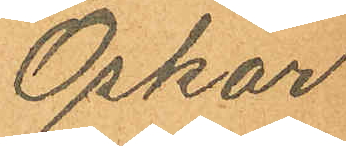Oskar
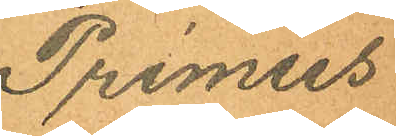Primus
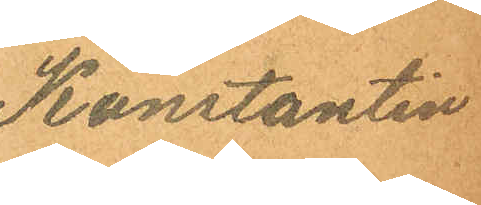Konstantin
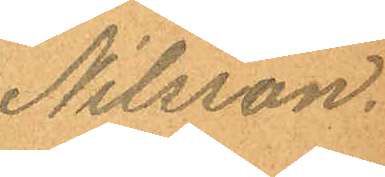Nilsson.
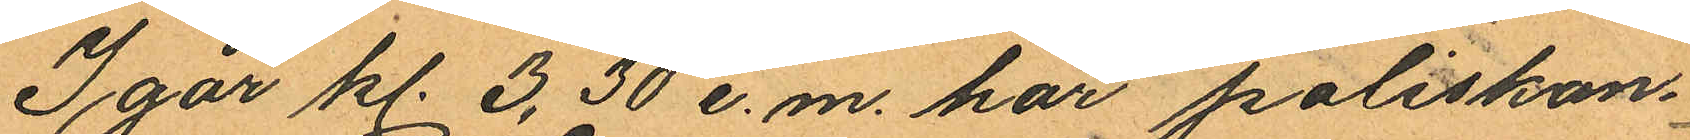I går kl. 3,30 e.m. har poliskon¬
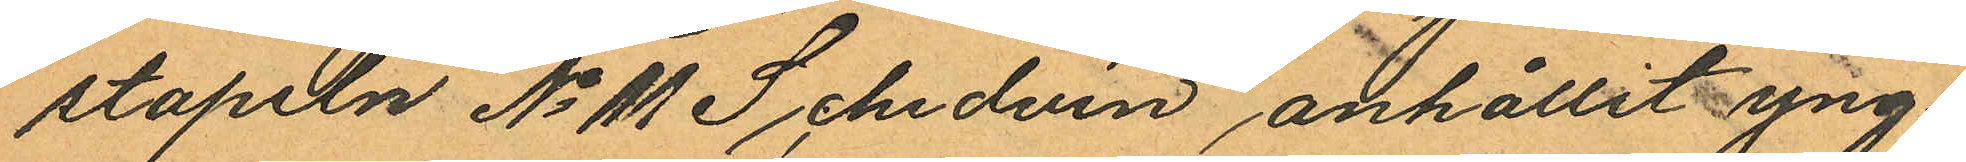stapeln No 11 Schedvin anhållit yng¬
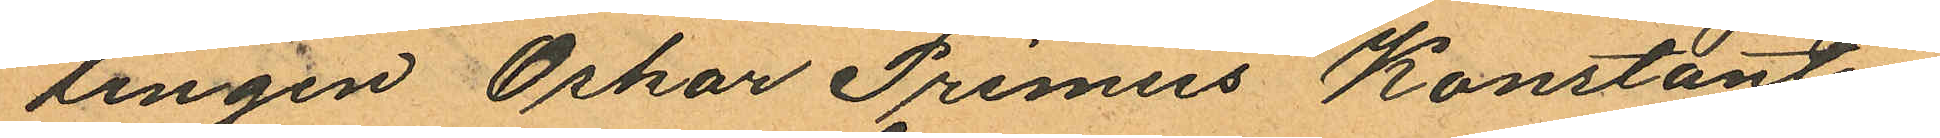lingen Oskar Primus Konstantin
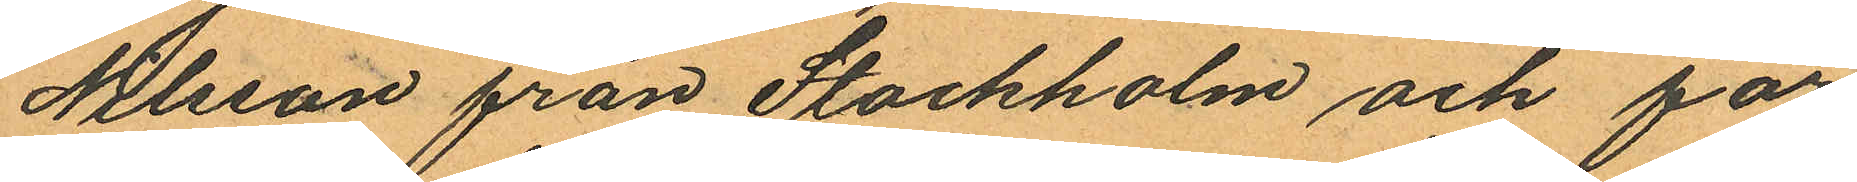Nilsson från Stockholm och för
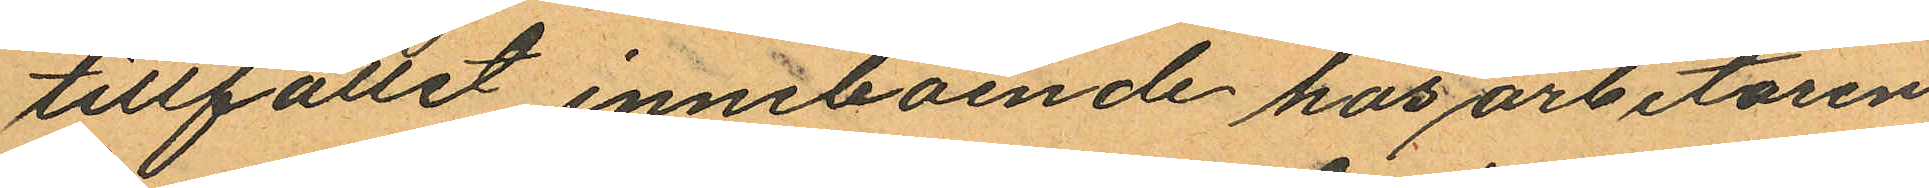tillfället inneboende hos arbetaren
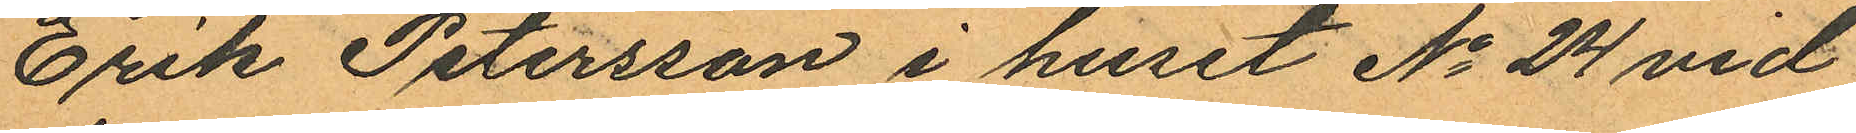Erik Petersson i huset No 24 vid
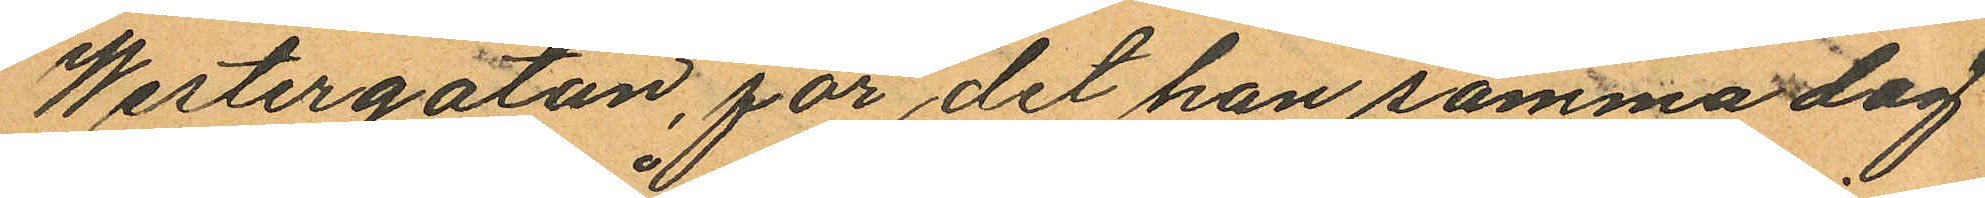Westergatan, för det han samma dag
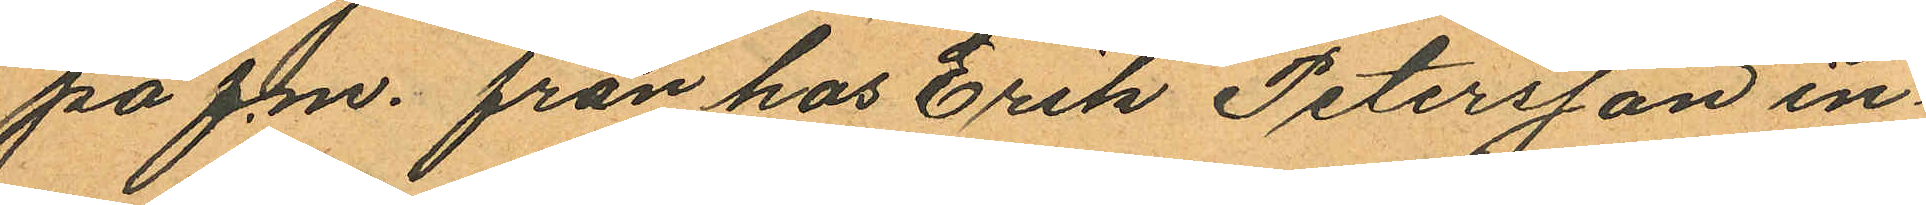på f.m. från hos Erik Petersson in¬
